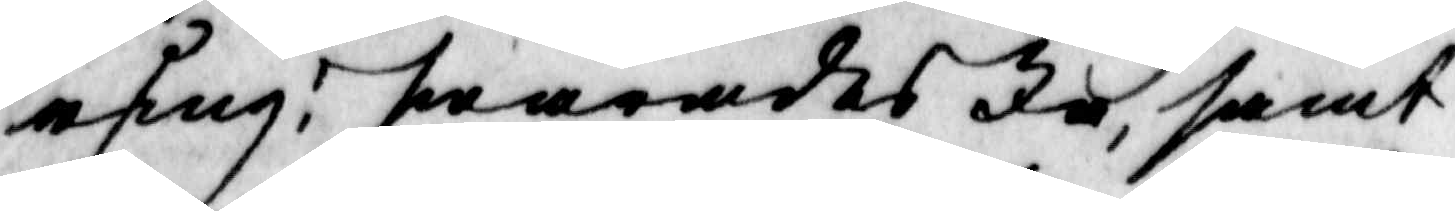ring? swarades Ja, samt
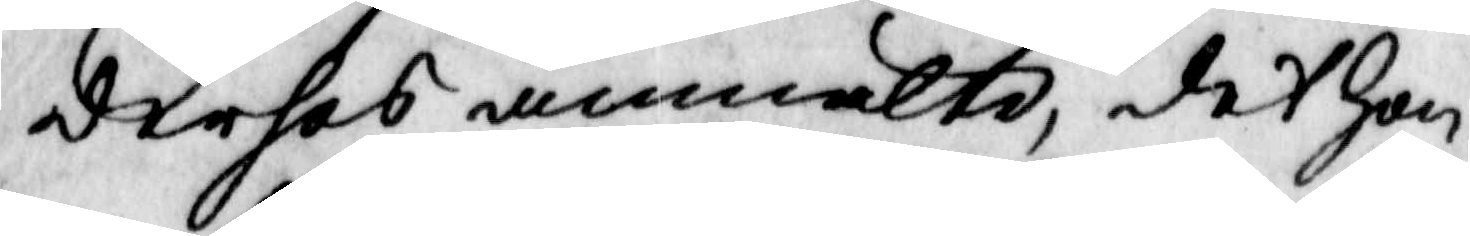derhos anmälte, det hon
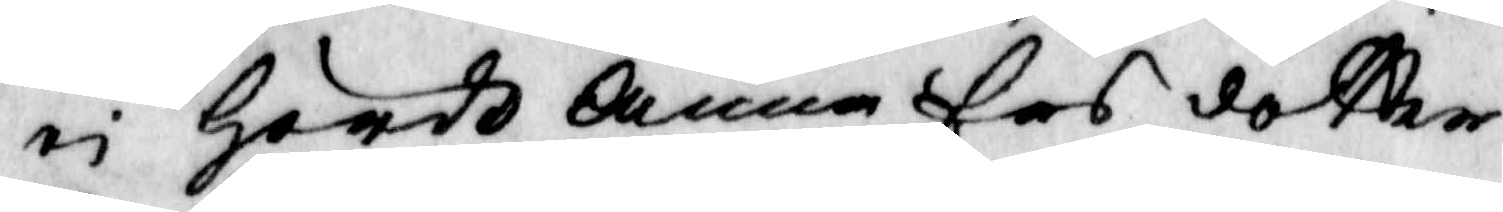ei hördt Anna Ers dotter
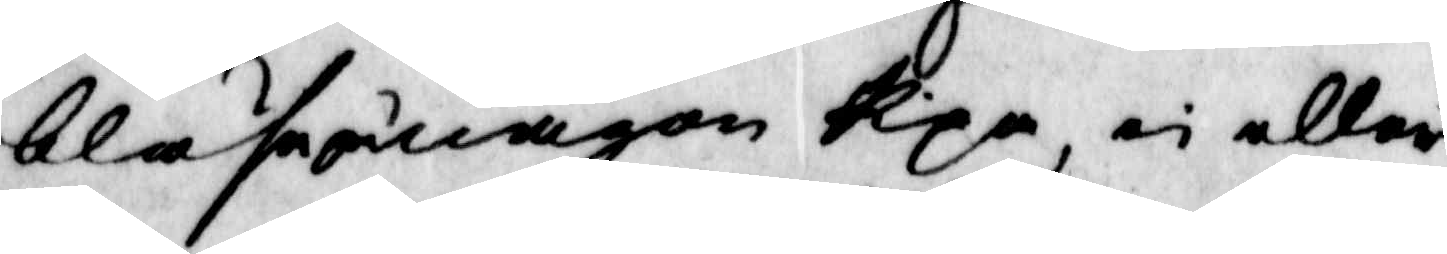blåse u någon Pipa, ei eller
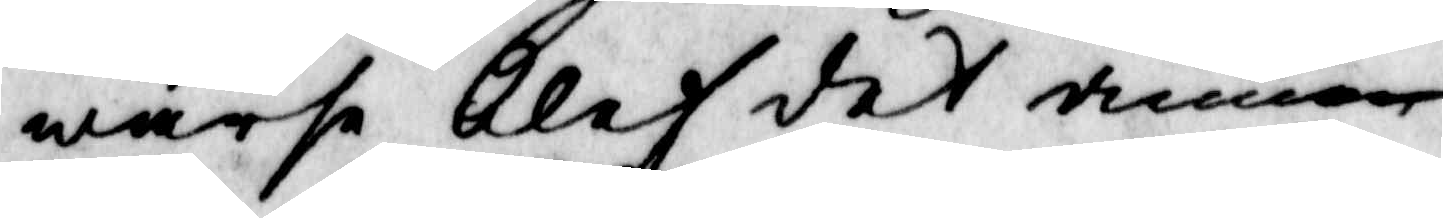warse blef det denne
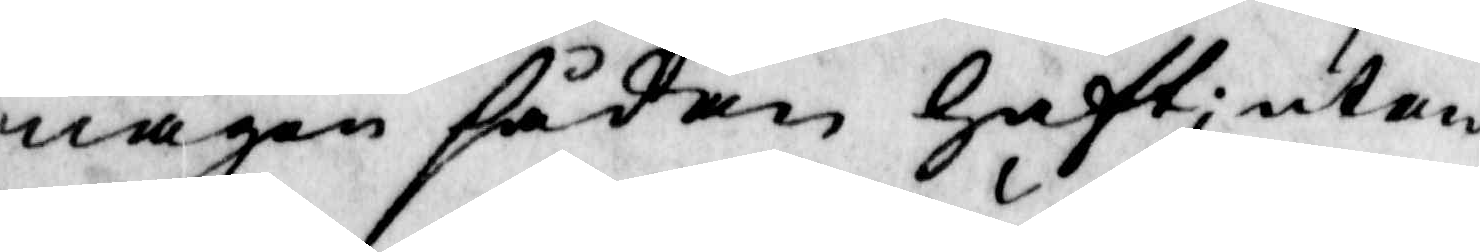någon sådan haft; utan
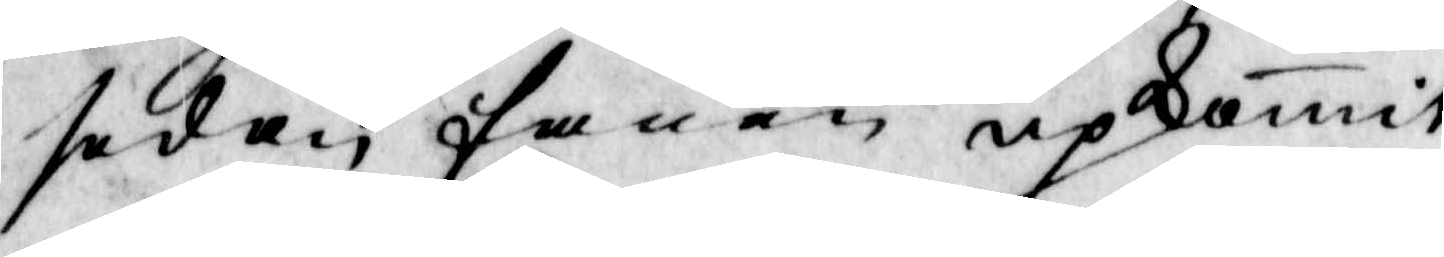sedan fanen upkomit
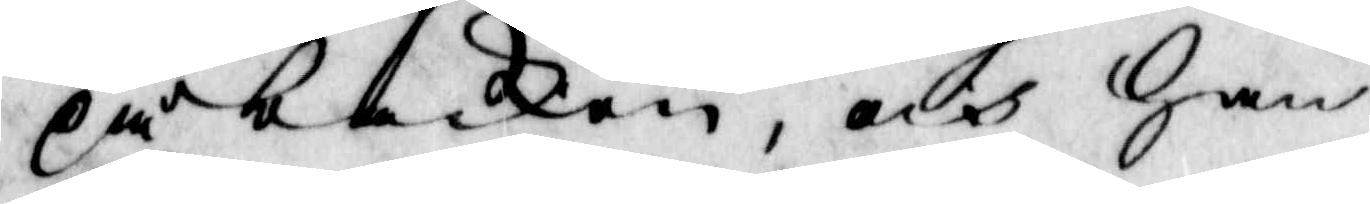på backen, och han
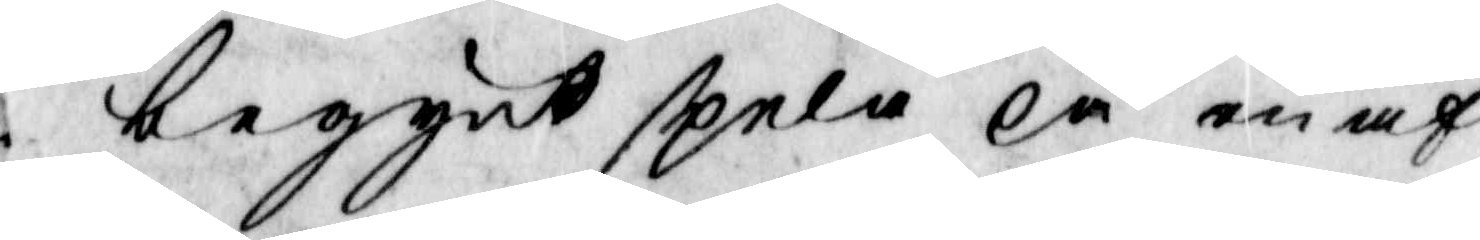begynt spela på en af
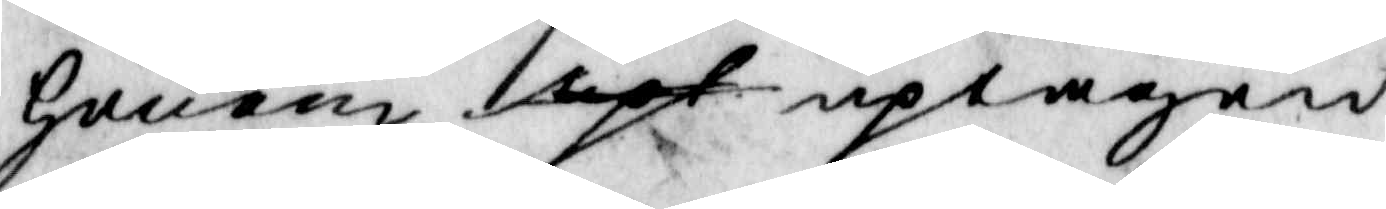honom upt uptagen
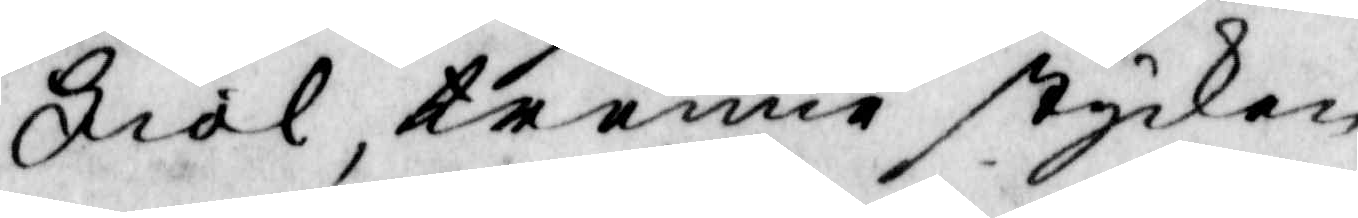Fiol, trenne stycken
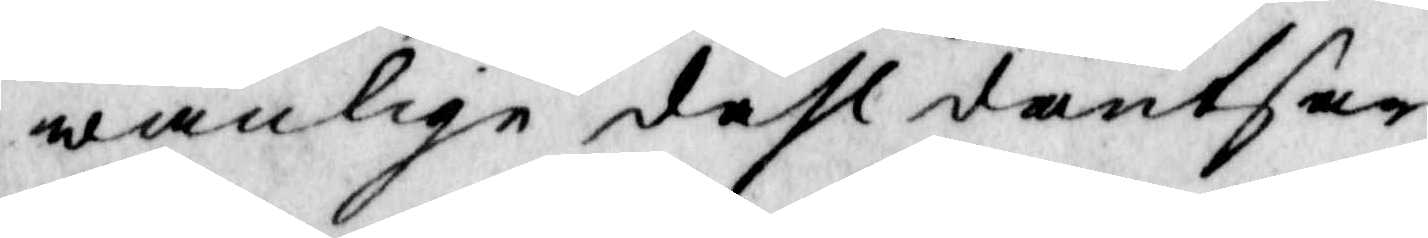wanlige dahl dantsar
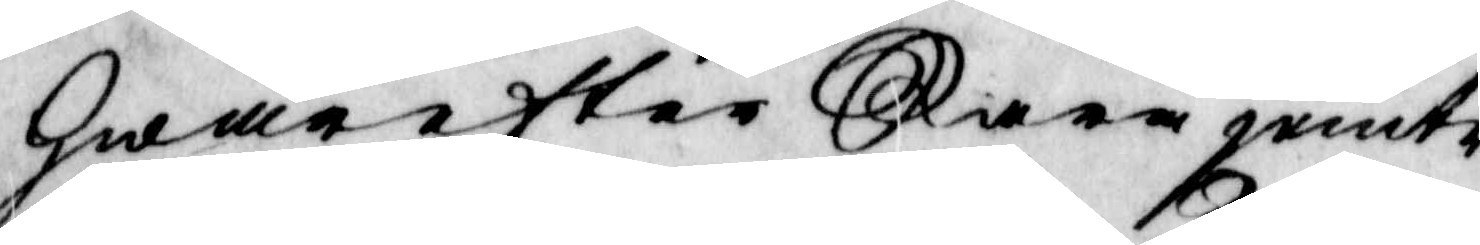hwarefter Kara jemte
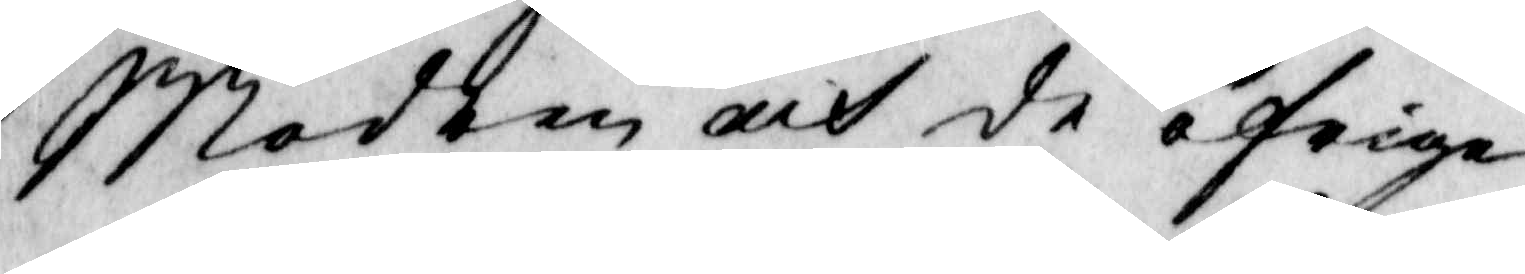Modren och de öfriga
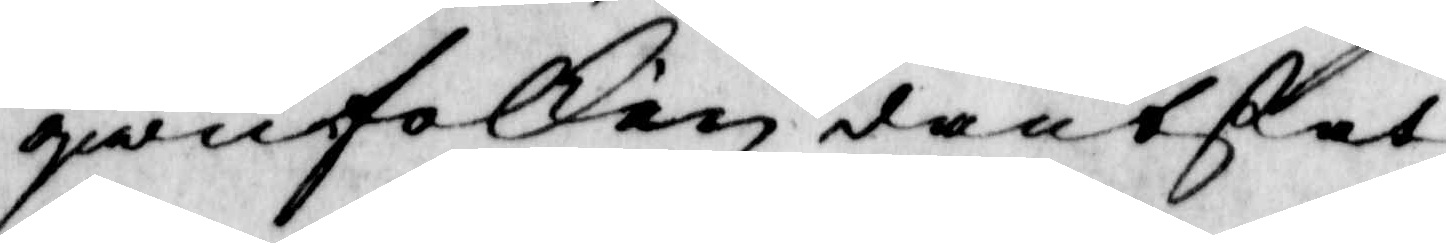qwinfolken dantsat,
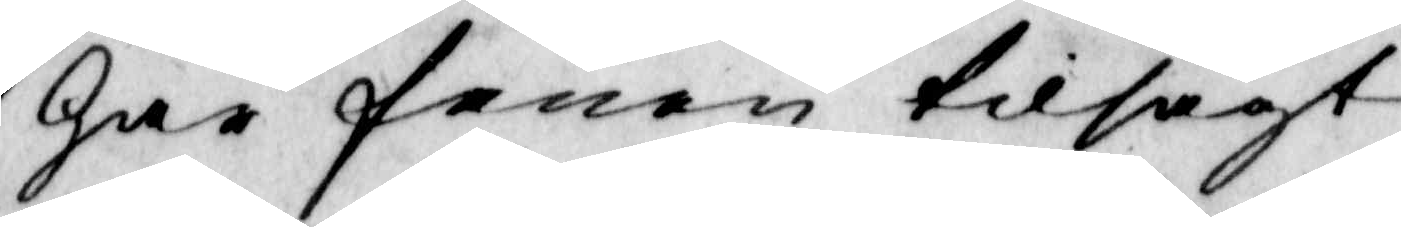har fanen tilsagt
